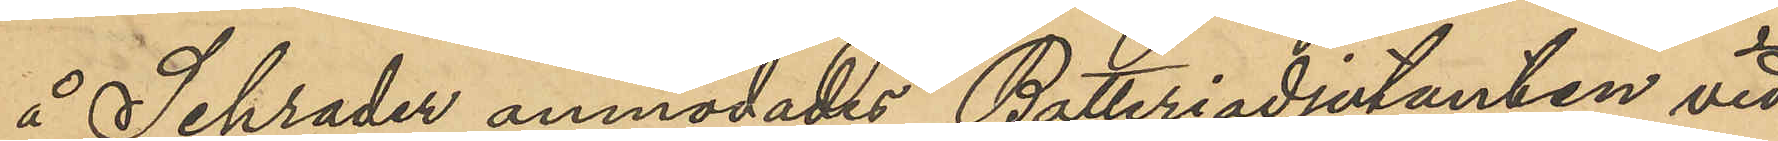å Schrader anmodades Batteriadjutanten vid
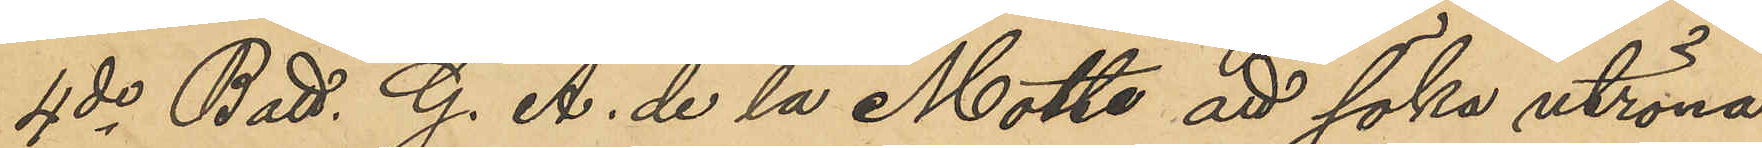4de Batt. G. A. de la Motte att söka utröna
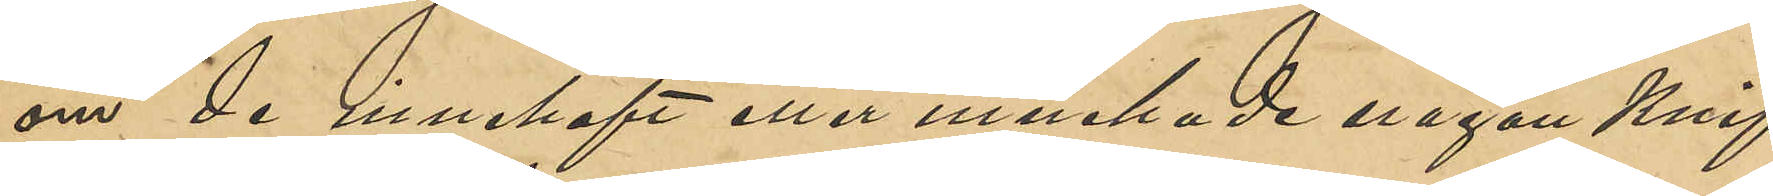om de innehaft eller innehade någon knif,
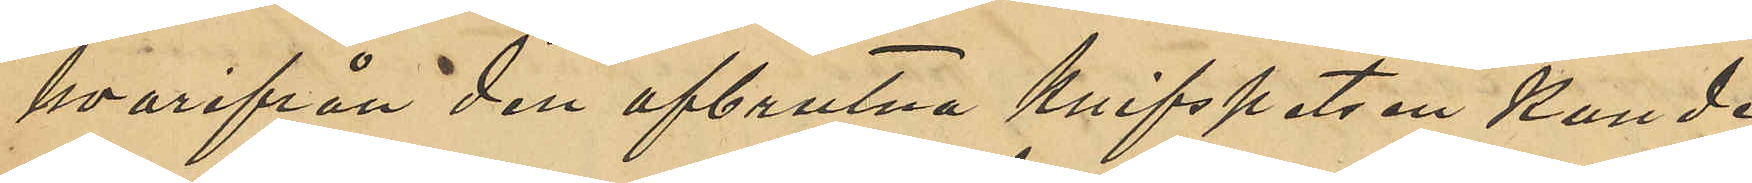hvarifrån den afbrutna knifspetsen kunde
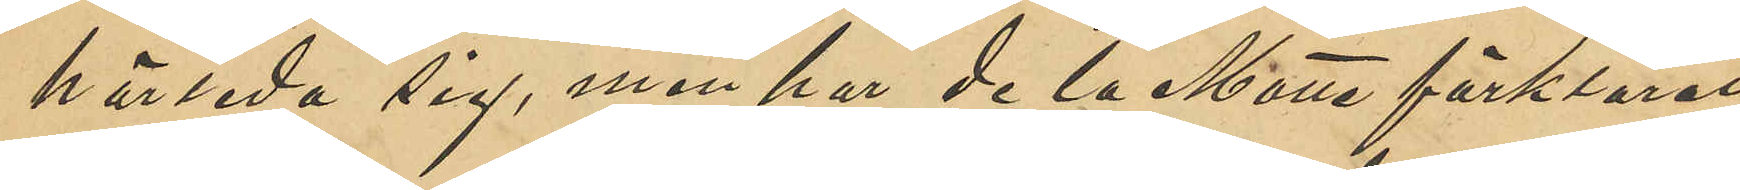härleda sig, men har de la Motte förklarat
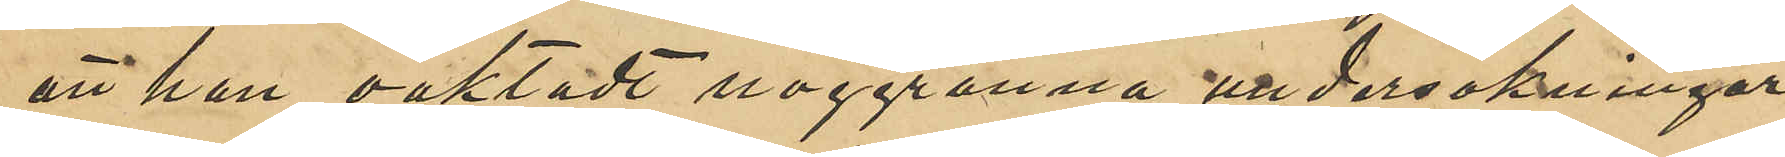att han oaktadt noggranna undersökningar
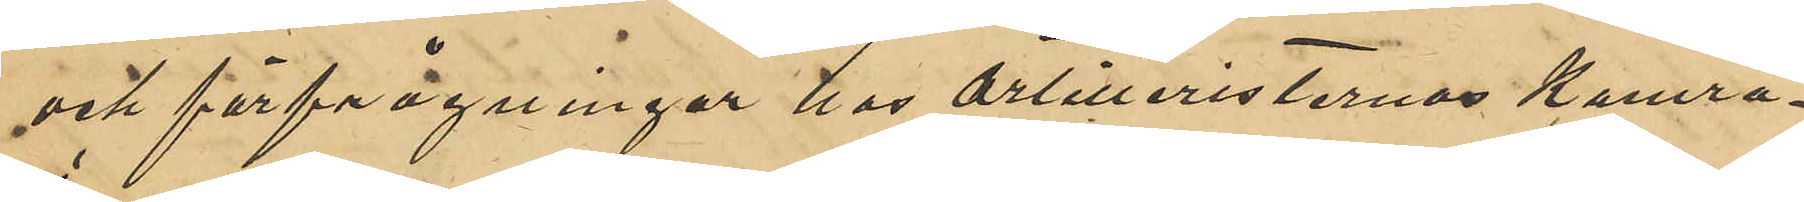och förfrågningar hos artilleristernas kamra¬
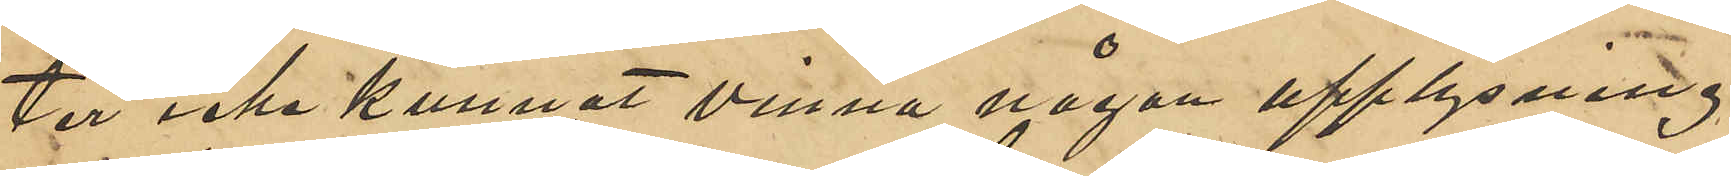ter icke kunnat vinna någon upplysning
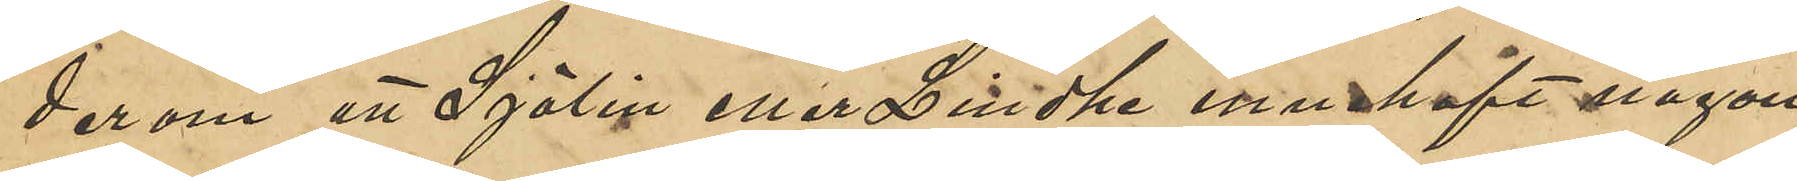derom att Sjölin eller Lindhe innehaft någon
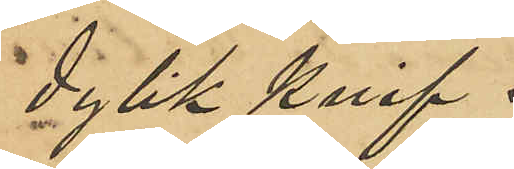dylik knif.
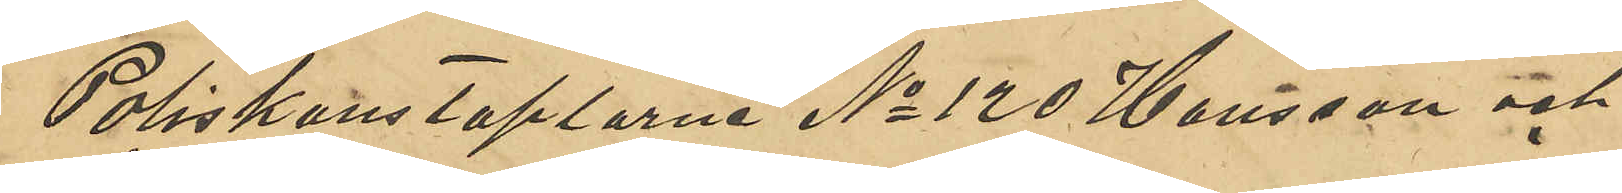Poliskonstaplarne No 120 Hansson och
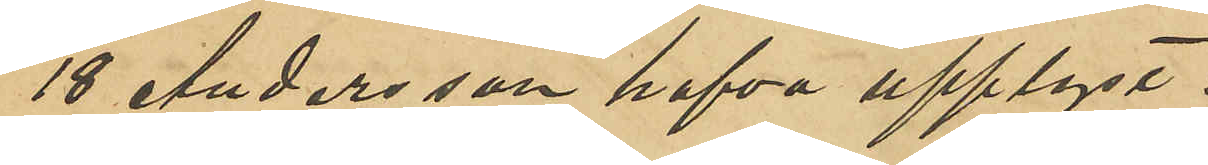18 Andersson hafva upplyst:
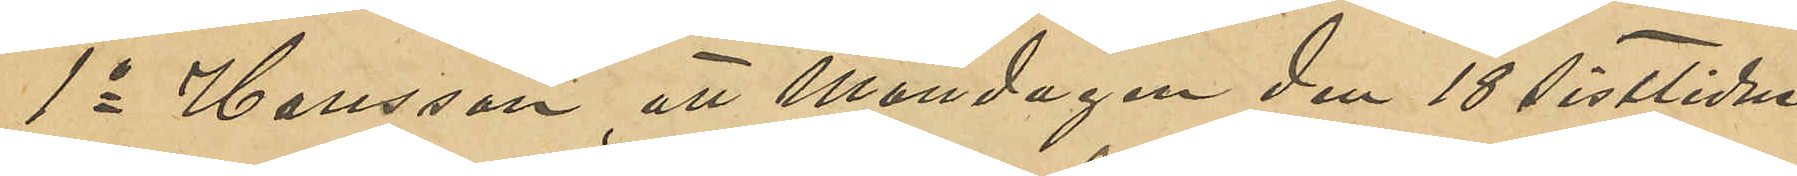1o Hansson, att Måndagen den 18 sistlidne
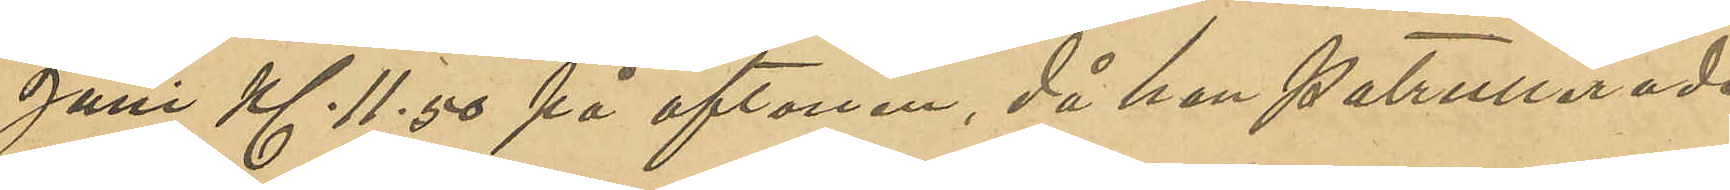Juni Kl 11,50 på aftonen, då han patrullerade
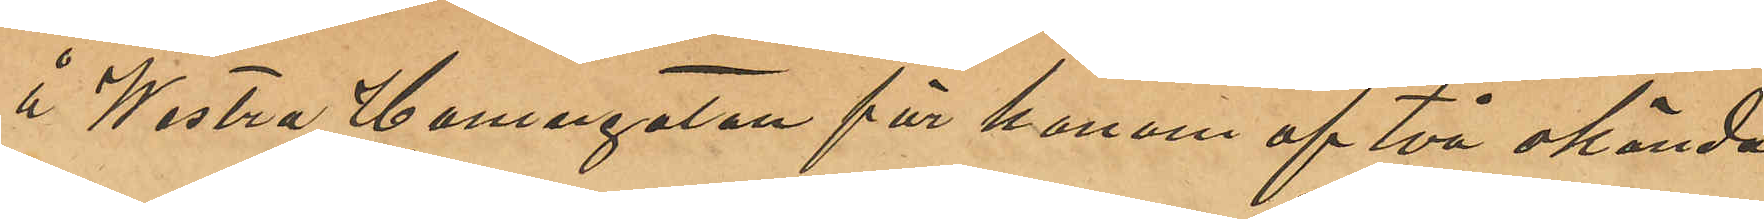å Westra Hamngatan för honom af två okända
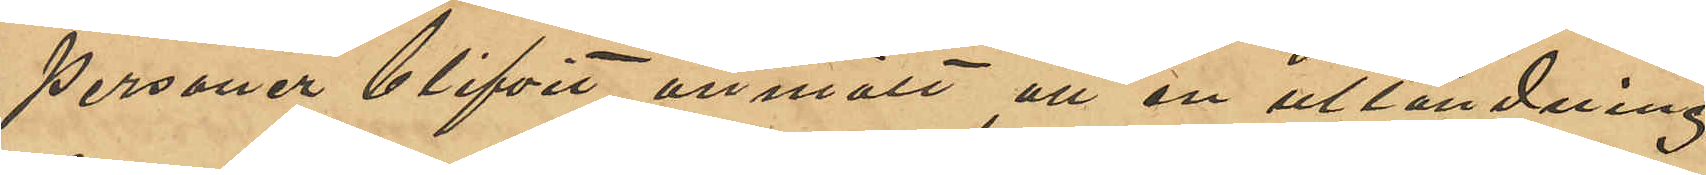personer blifvit anmält att en utländning
